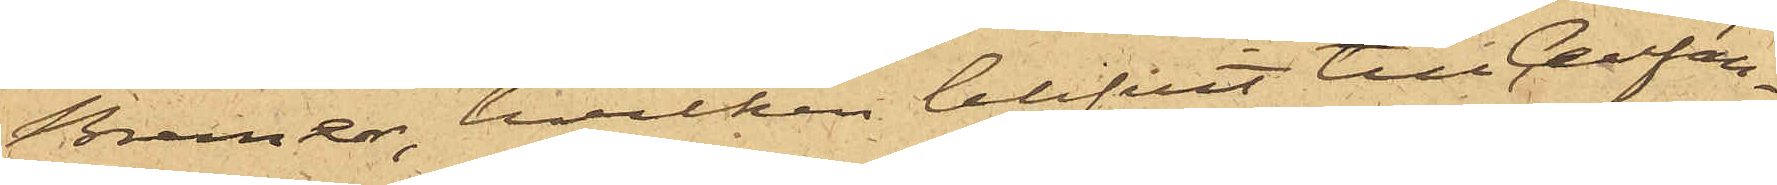Bremer, hvilken blifvit till Cellfän¬
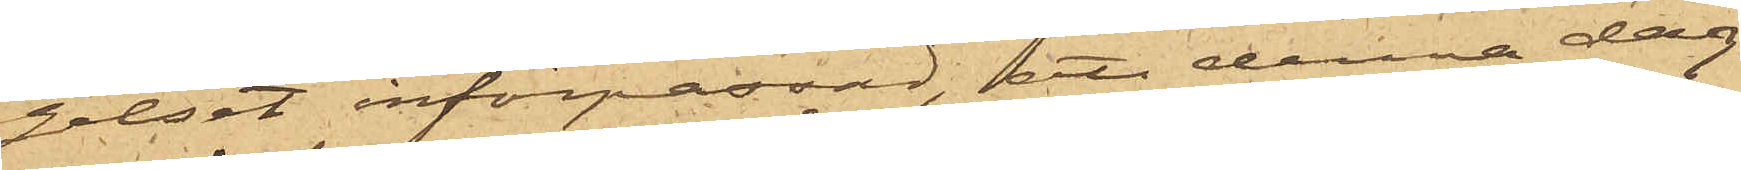gelset införpassad, att denna dag
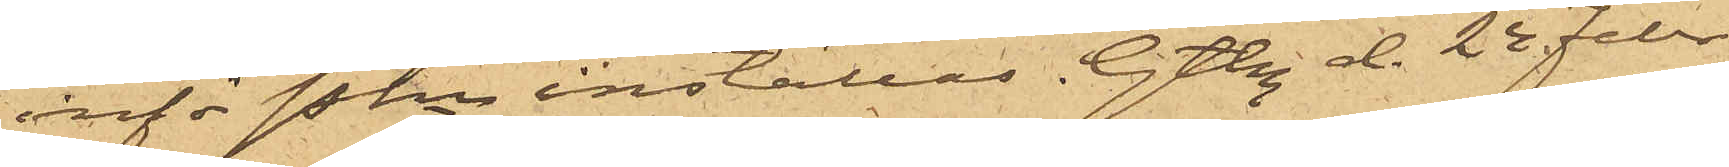inför Pkn inställas. Gtbg d. 24 Febr.
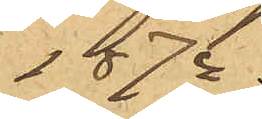1874.
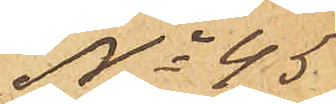No 45.
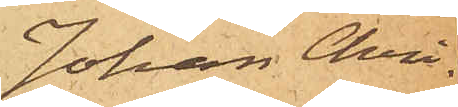Johan Chri¬
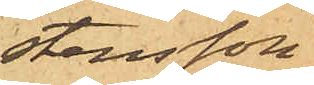stensson
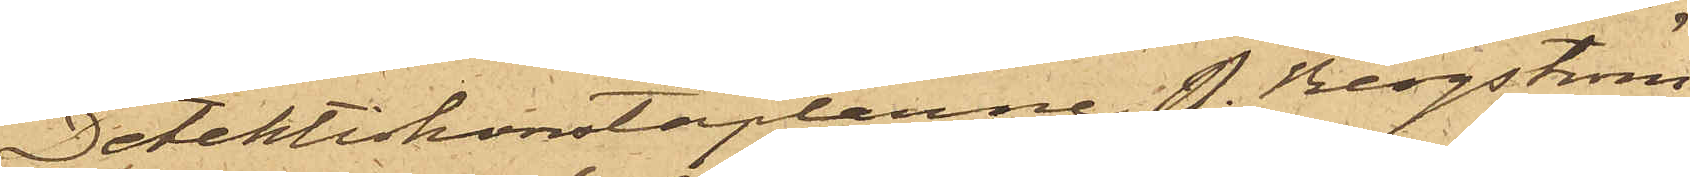Detektivkonstaplarne P. Bergström
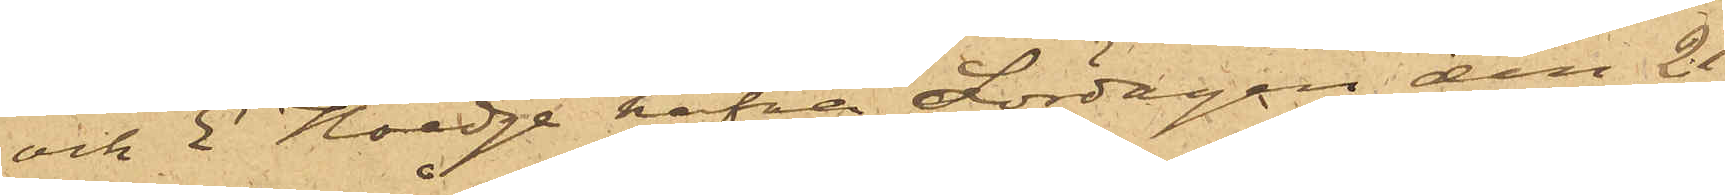och E. Hedge hafva Lördagen den 21
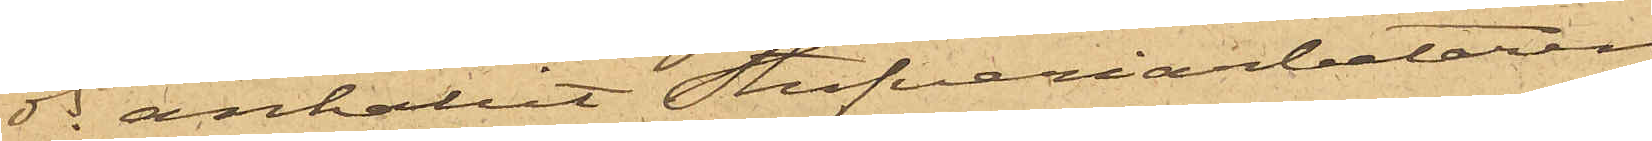ds anhållit Stufveriarbetaren
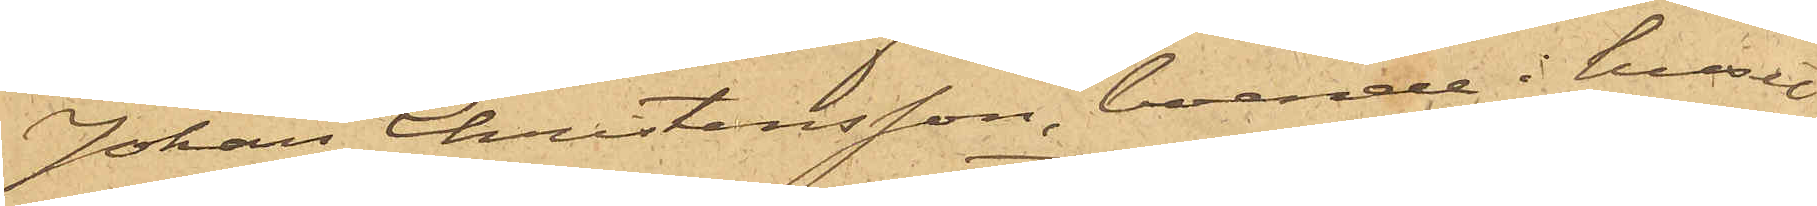Johan Christensson, boende i huset
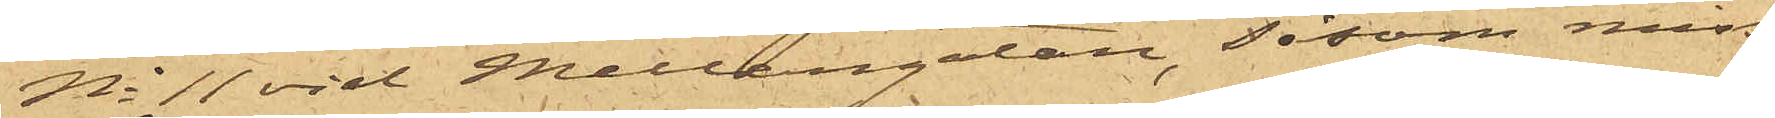No 11 vid Mellangatan, såsom miss¬
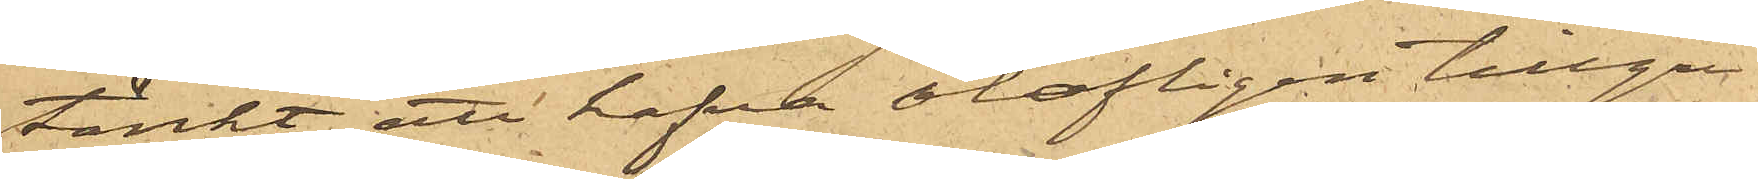tänkt att hafva olofligen tillgri¬
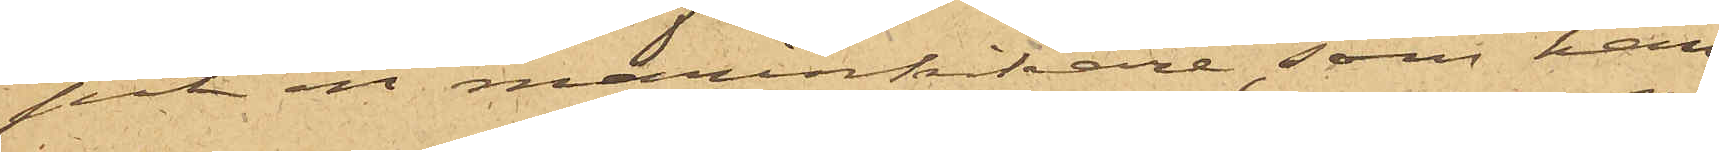pit en marinkikare, som han
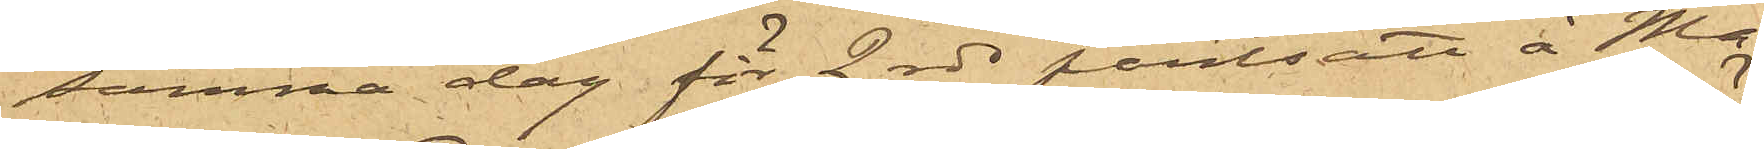samna dag för 2 rdr pantsatt å Ma¬
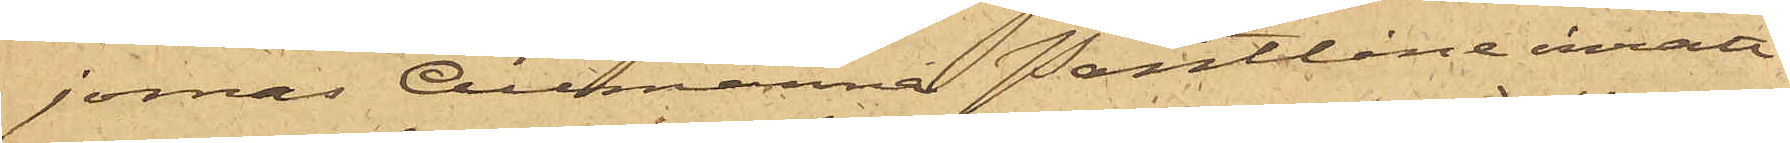jornas Allmänna Pantlåneinrätt¬
